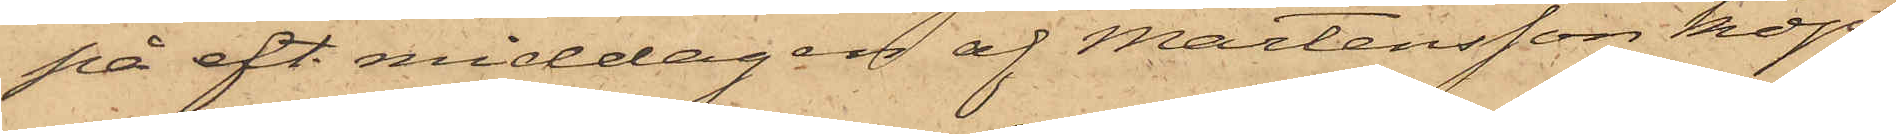på eft. middagen af Mårtensson köpt
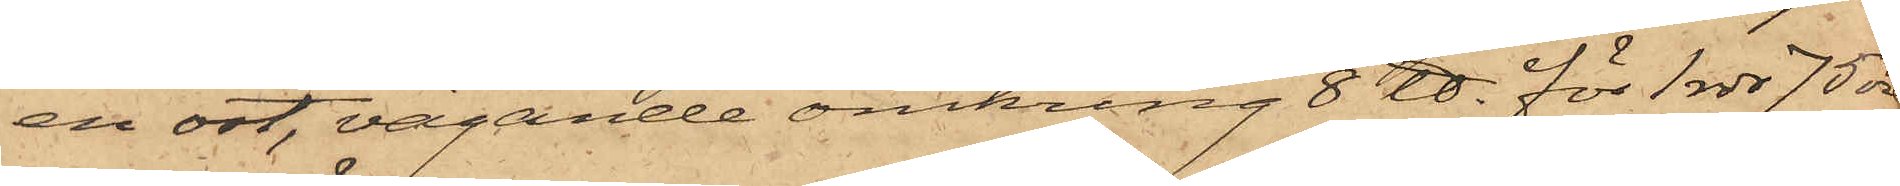en ost, vägande omkring 8 ℔ för 1 rdr 75 öre.
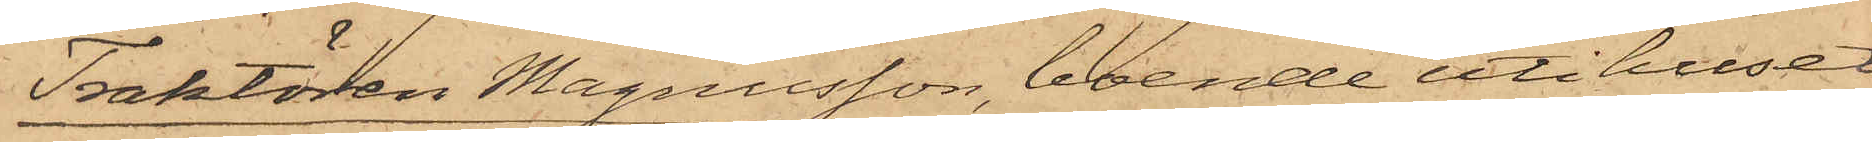Traktören Magnusson, boende uti huset
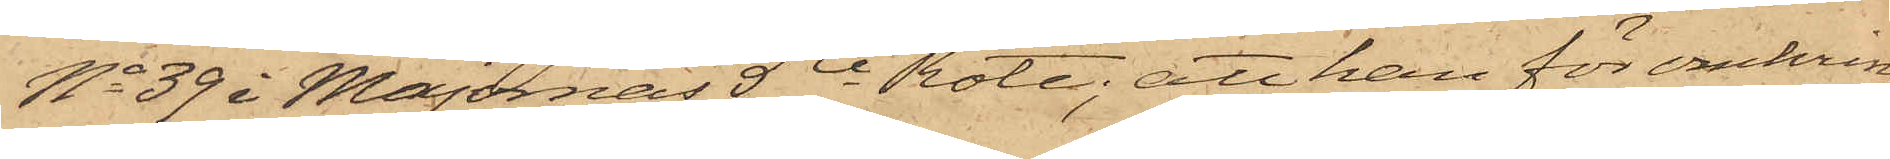No 39 i Majornas 5te Rote; att han för omkring
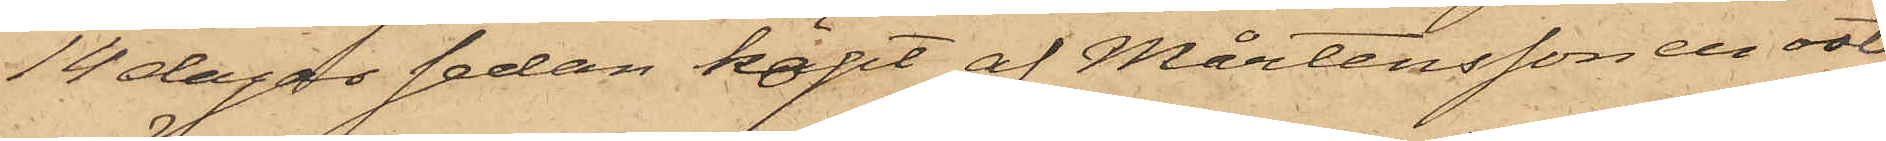14 dagar sedan köpt af Mårtensson en ost,
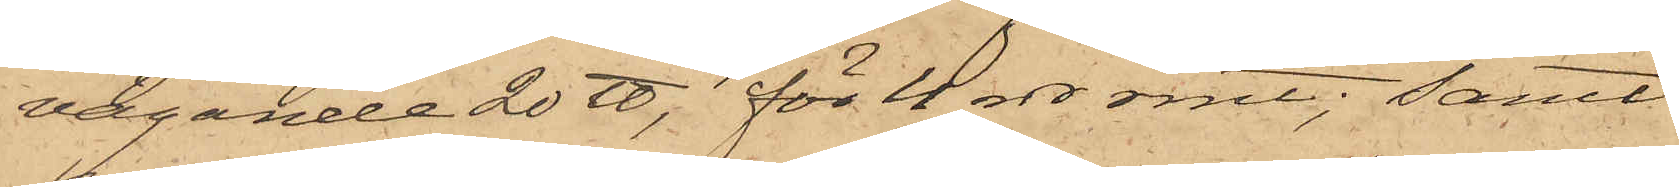vägande 20 ℔, för 4 rdr rmt; samt
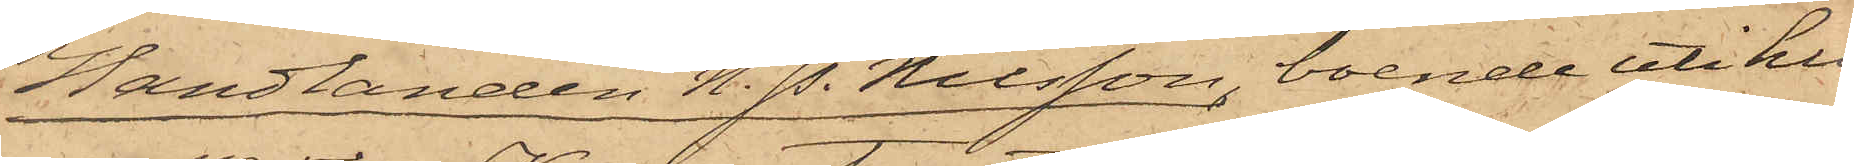Handlanden N. P. Nilsson, boende uti hu¬
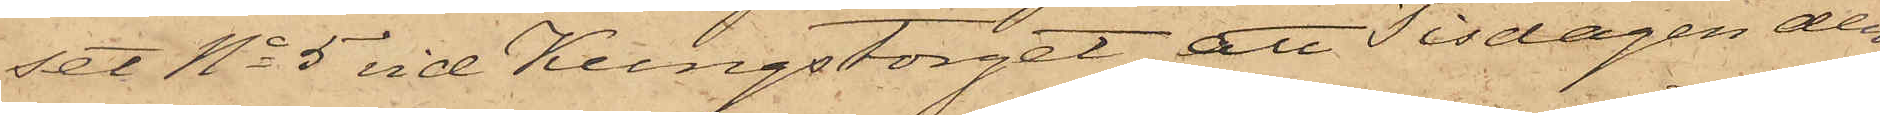set No 5 vid Kungstorget, att Tisdagen den
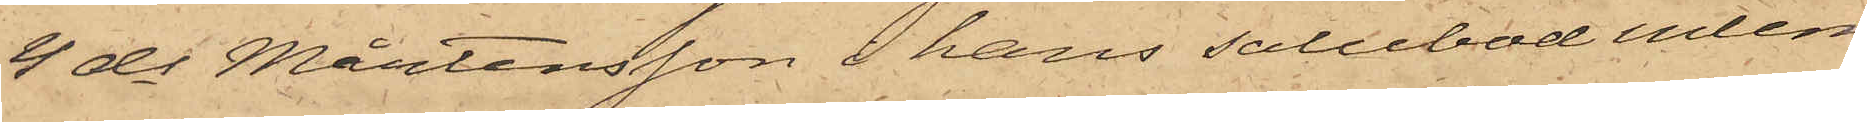4 ds Mårtensson i hans salubod inlem¬
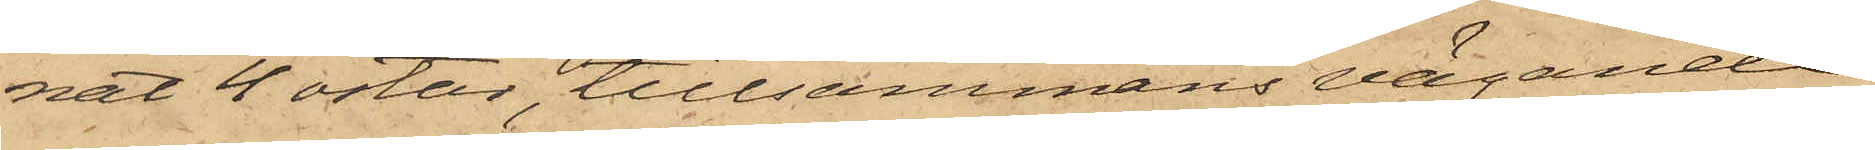nat 4 ostar, tillsammans vägande
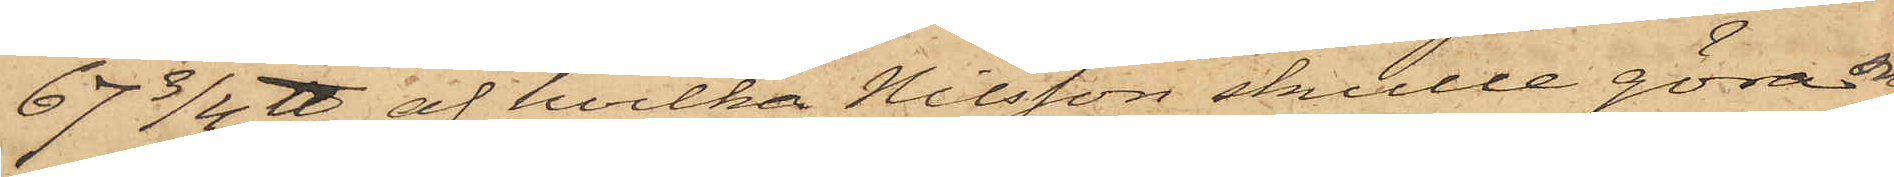67 3/4 ℔, af hvilka Nilsson skulle göra sig
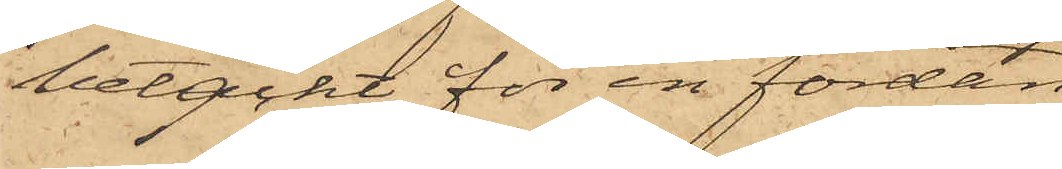betäckt för en fordan
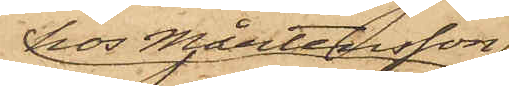hos Mårtensson
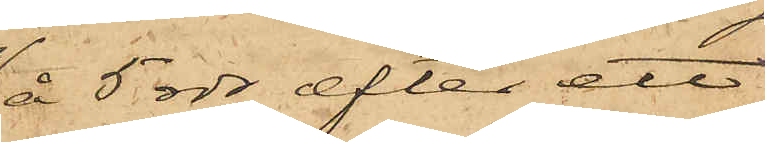å 5 rdr, efter ett
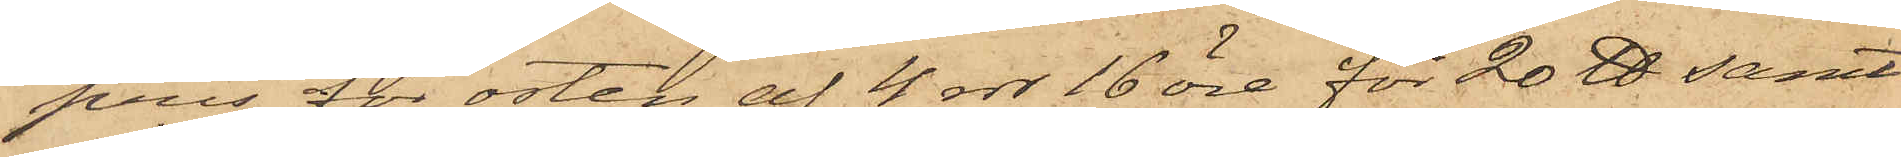pris för osten af 4 rdr 16 öre för 20 ℔ samt
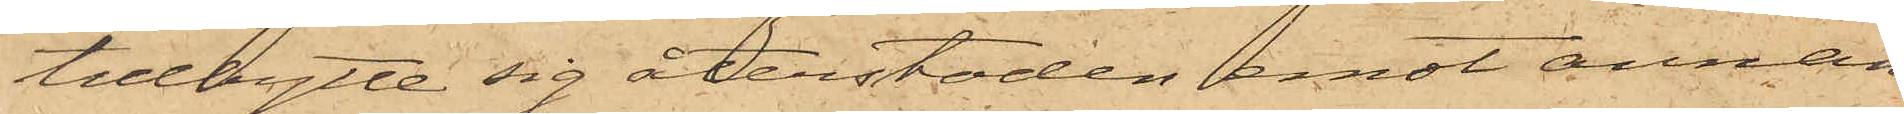tillbytte sig återstoden emot annan
